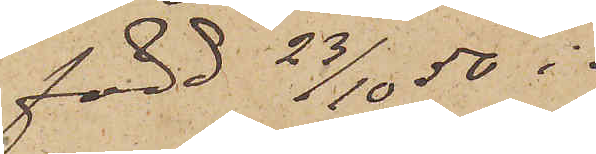född 23/10 50 i
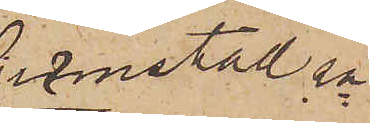Grimstad sn 
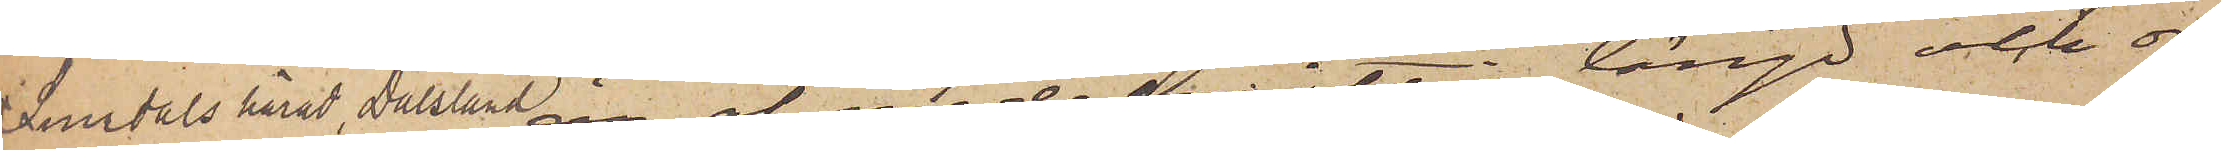Sundals härad, Dalsland är af medelmåttig längd och or¬
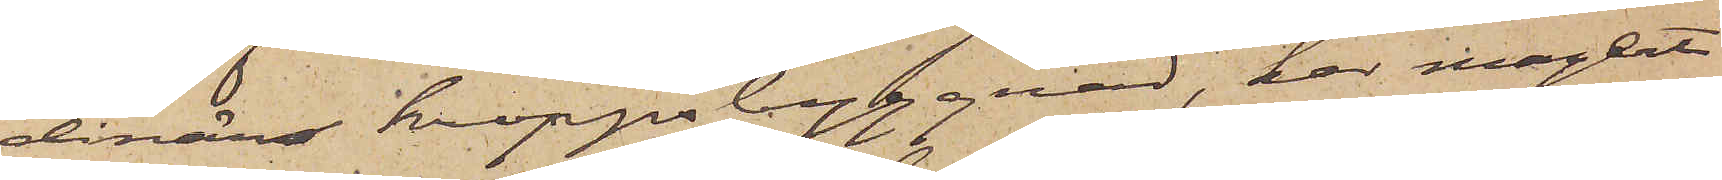dinär kroppsbyggnad, har magert
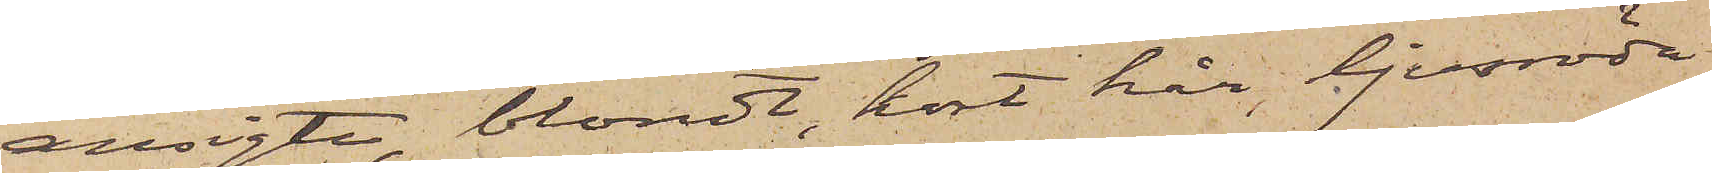ansigte, blondt, kort hår, ljusröda
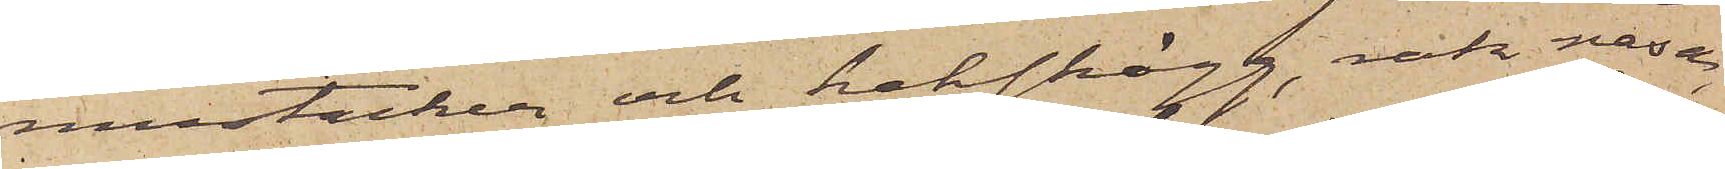mustacher och halfskägg, rak näsa,
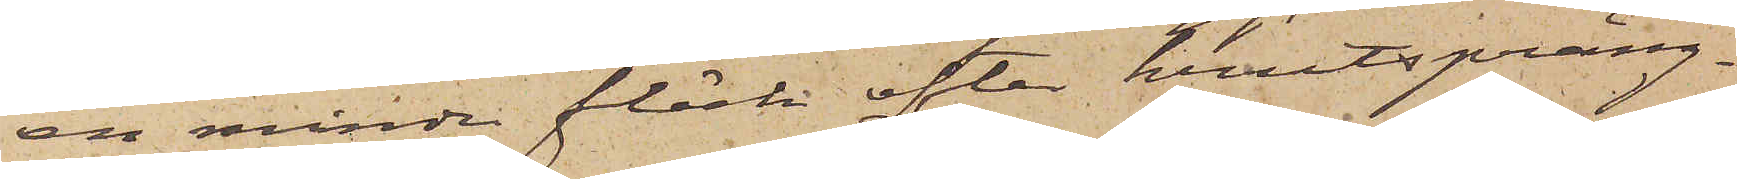en mindre fläck efter krutspräng¬
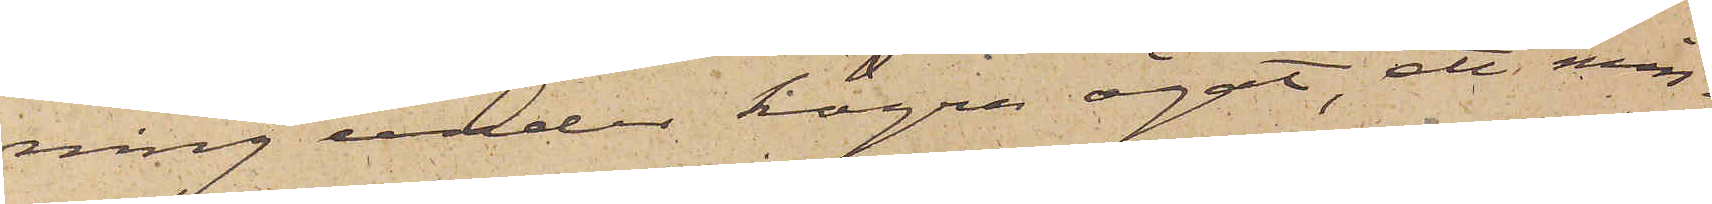ning under högra ögat, ett min¬
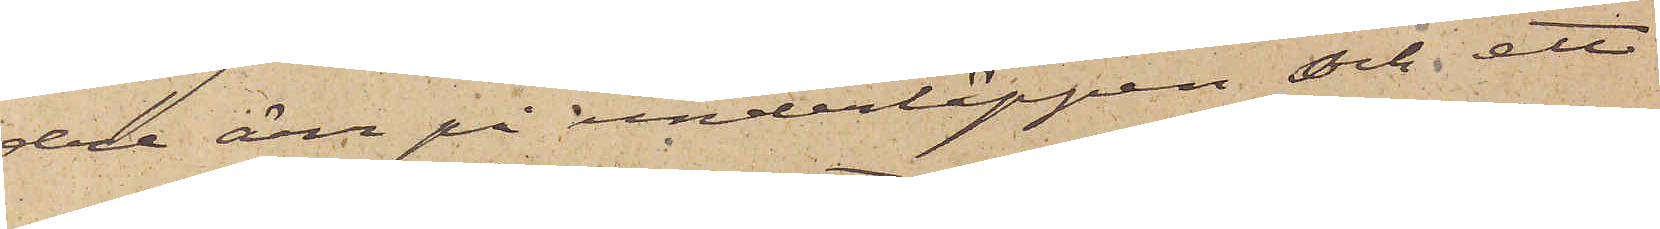dre ärr på underläppen och ett
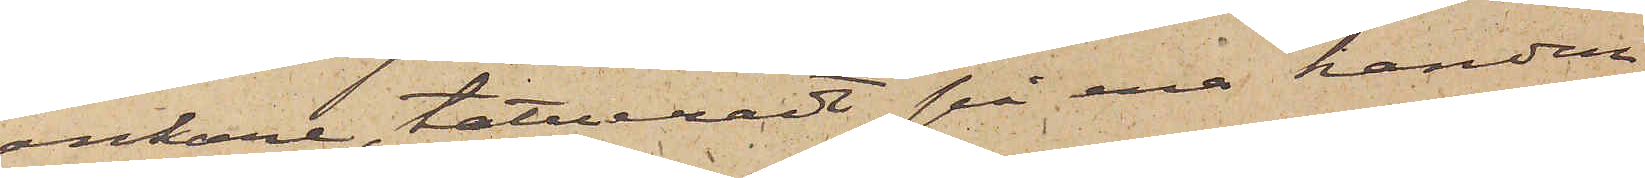ankare, tatueradt på ena handen
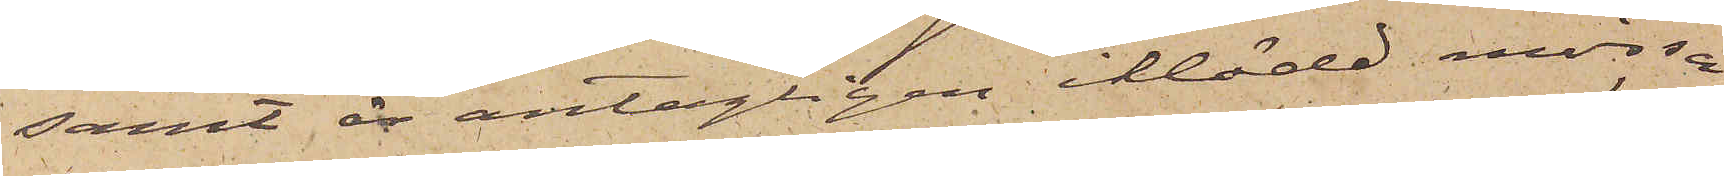samt är antagligen iklädd mössa
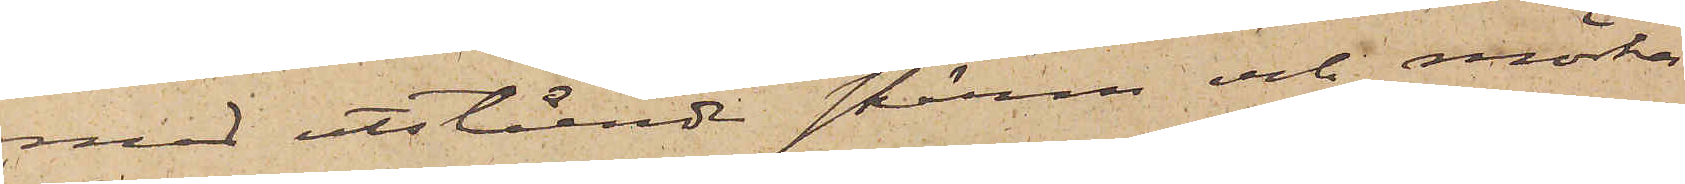med utstående skärm och mörka
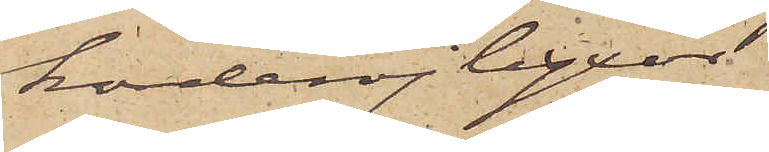korderojbyxor
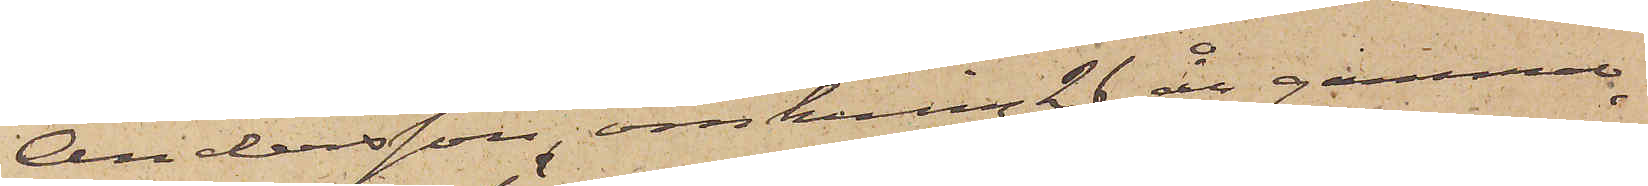Andersson, omkring 26 år gammal,
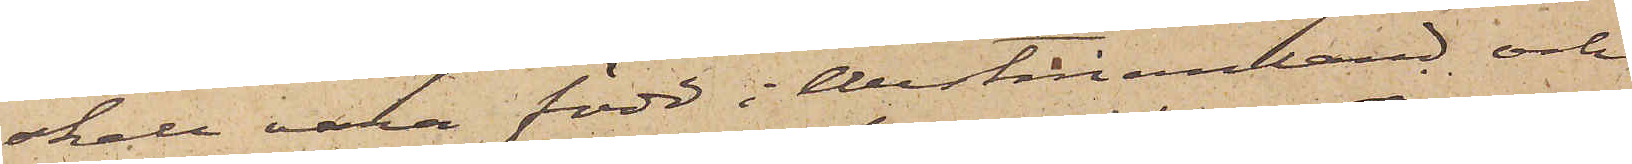skall vara född i Westmanland och
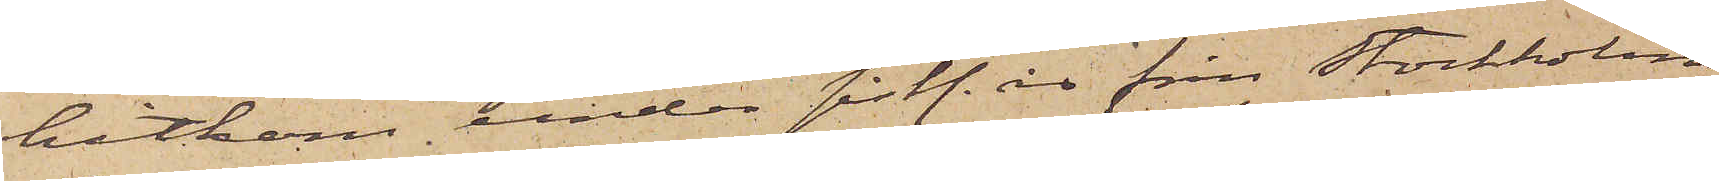hitkom under sistl. år från Stockholm,
